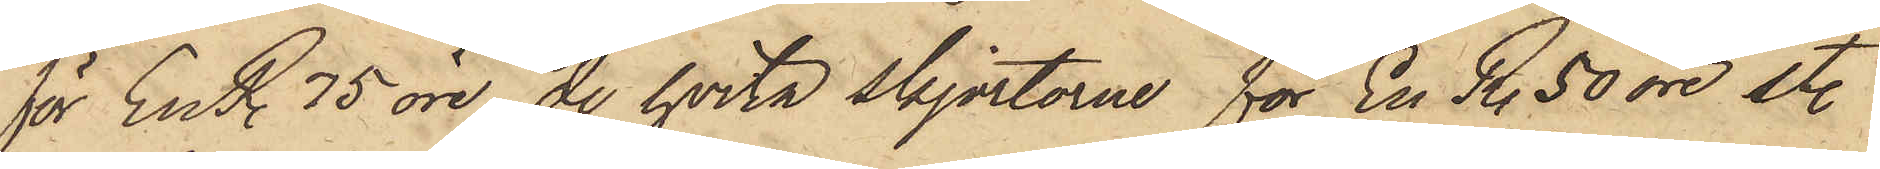för En R. 75 öre, de hvita skjortorne för En R. 50 öre st.
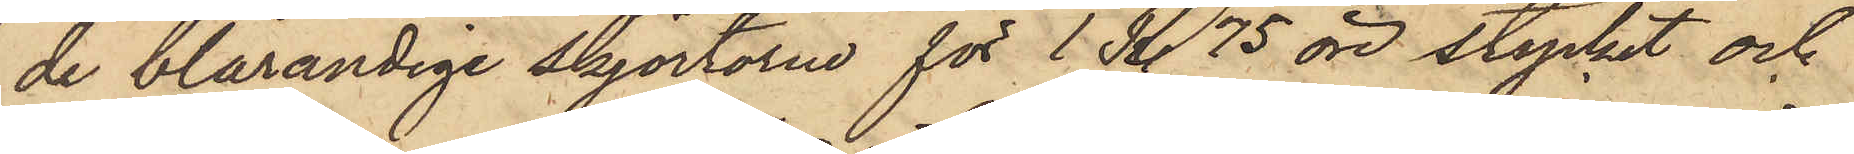de blårandige skjortorne för 1 R. 75 öre stycket och
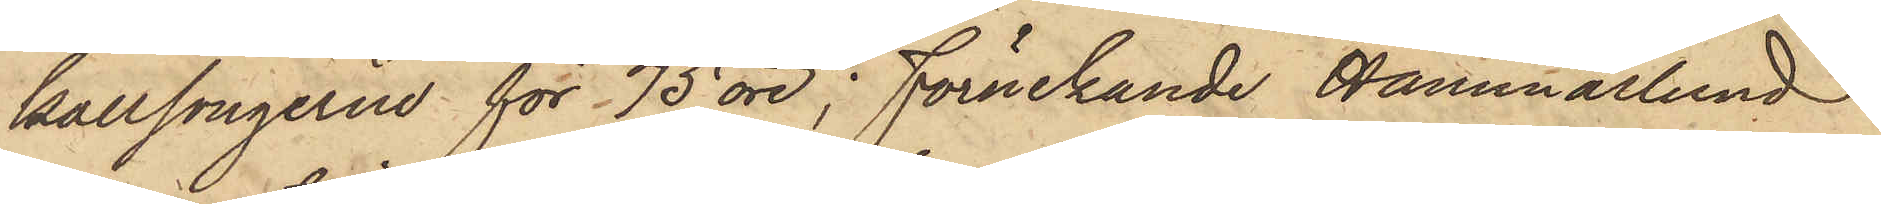kallsongerne för 75 öre; förnekande Hammarlund
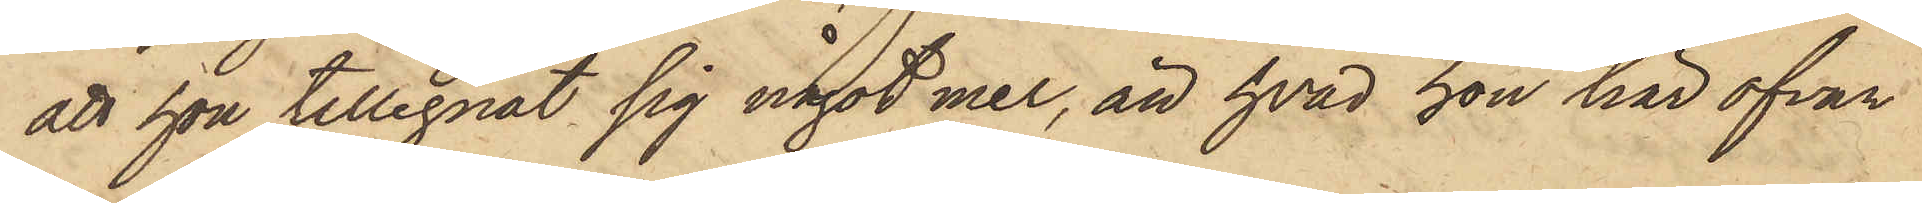att hon tillegnat sig något mer, än hvad hon här ofvan
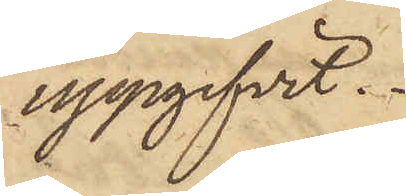uppgifvit.
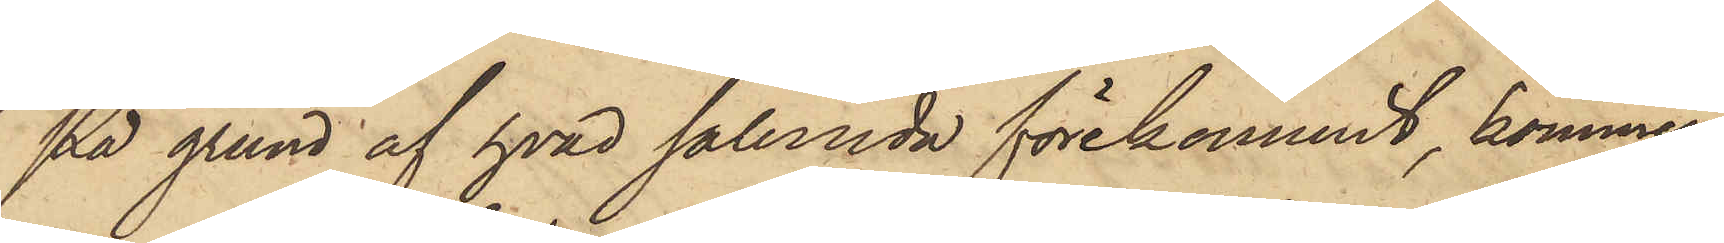På grund af hvad sålunda förekommit, kommer
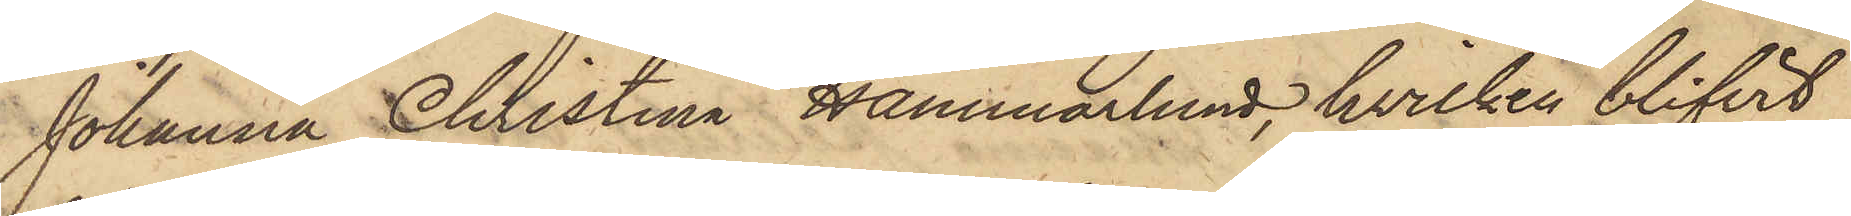Johanna Christina Hammarlund, hvilken blifvit
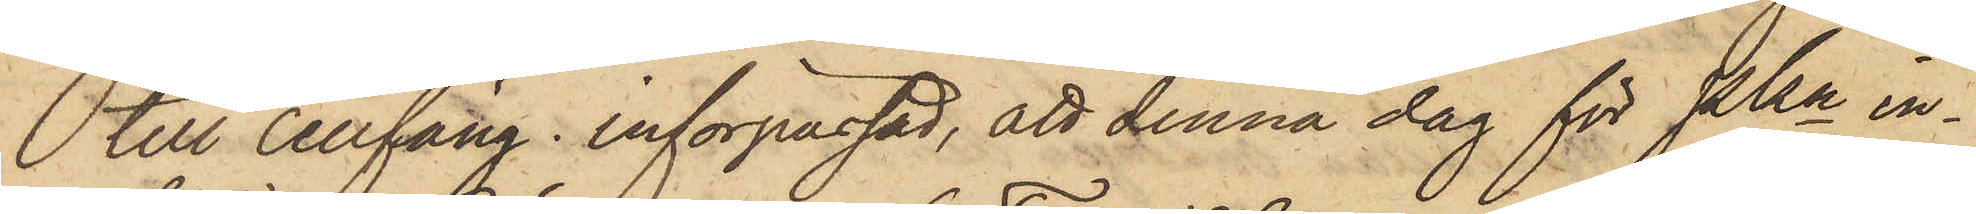till cellfäng. införpassad, att denna dag för Pkn in¬
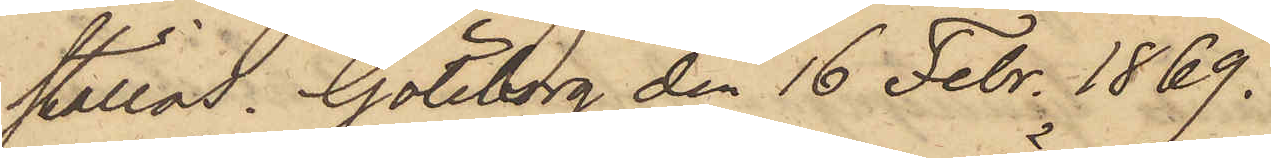ställas. Göteborg den 16 Febr. 1869.
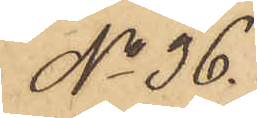No 36.
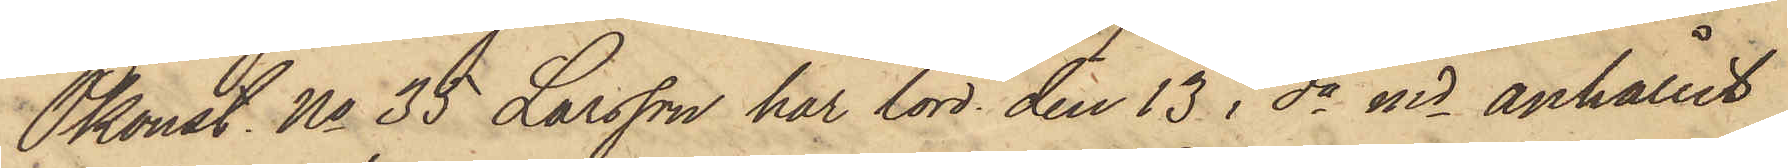Pkonst. No 35 Larsson har lörd. den 13 i da md anhållit
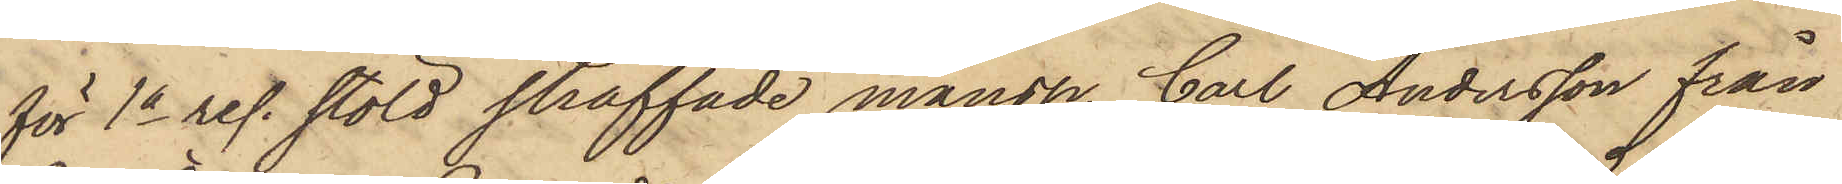för 1a res. stöld straffade mansp. Carl Andersson från
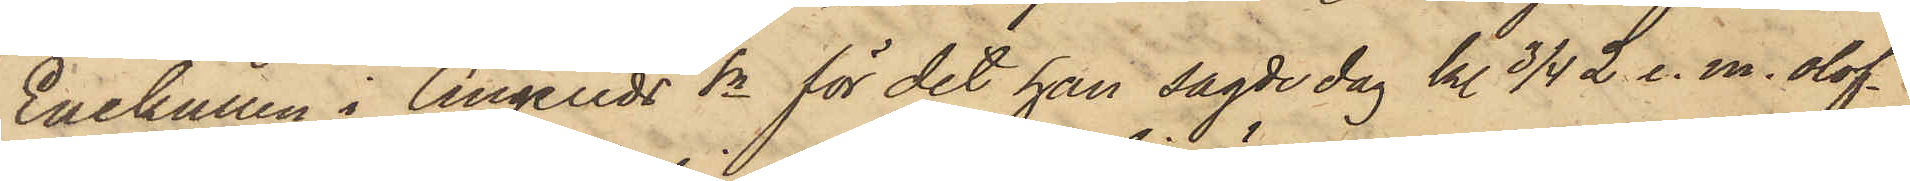Enekullen i Angereds Sn för det han sagde dag kl. 3/4 2 e. m. olof¬
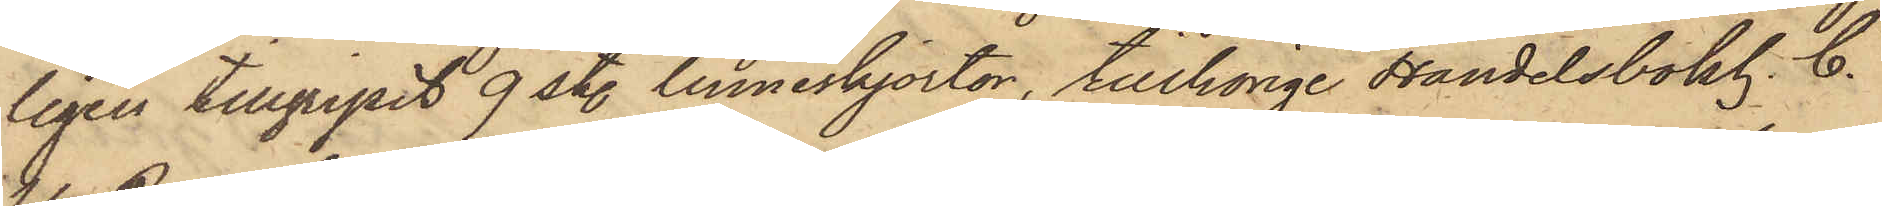ligen tillgripit 9 st. linneskjortor, tillhörige Handelsbokh. C.
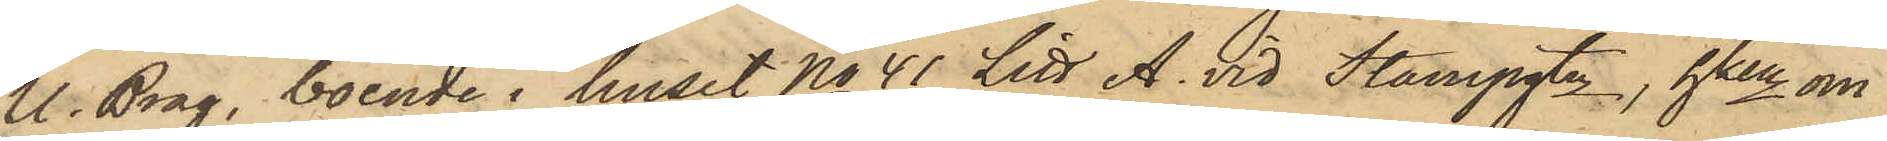U. Brag, boende i huset No 41 Litt A. vid Stampgtn, hken om
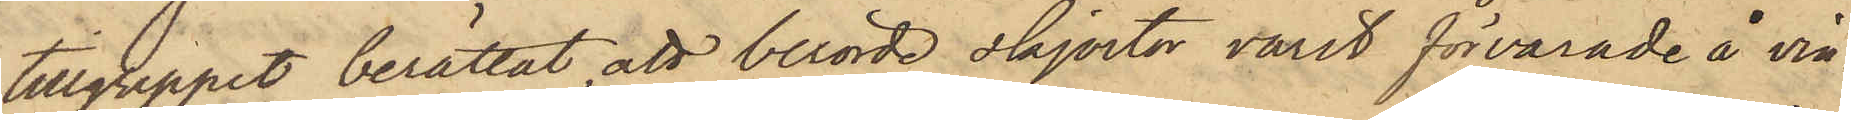tillgreppet berättat, att berörde skjortor varit förvarade å vin¬
